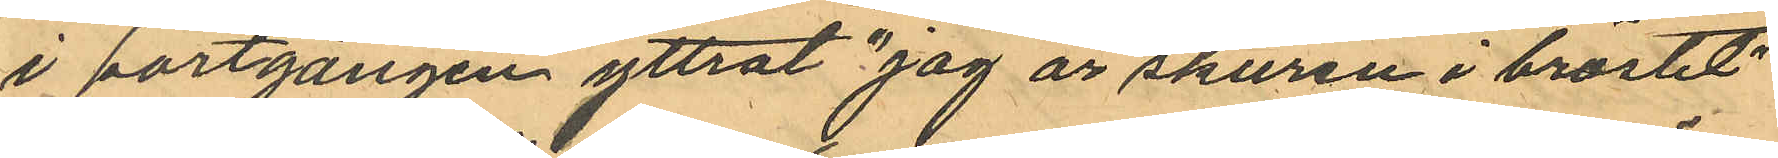i portgången yttrat "jag är skuren i bröstet"
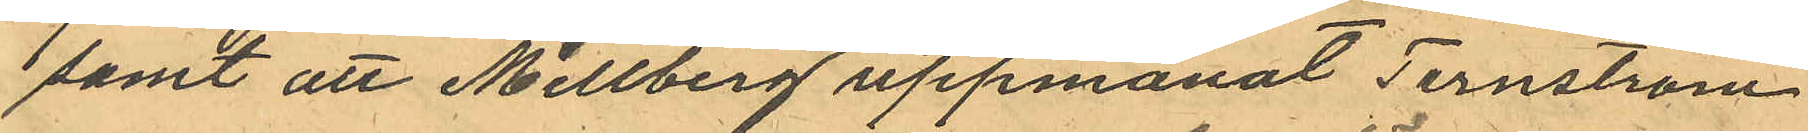samt att Mellberg uppmanat Ternström
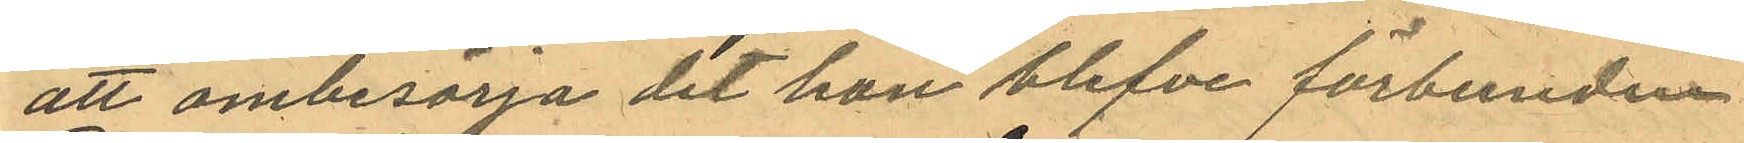att ombesörja det hon blefve förbunden
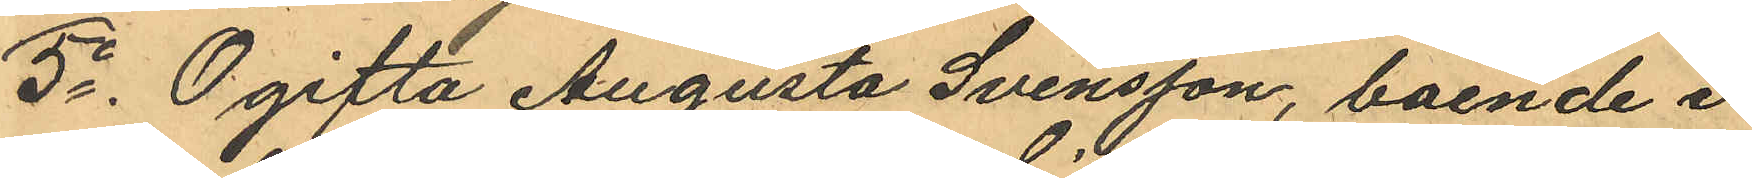5o Ogifta Augusta Svensson, boende i
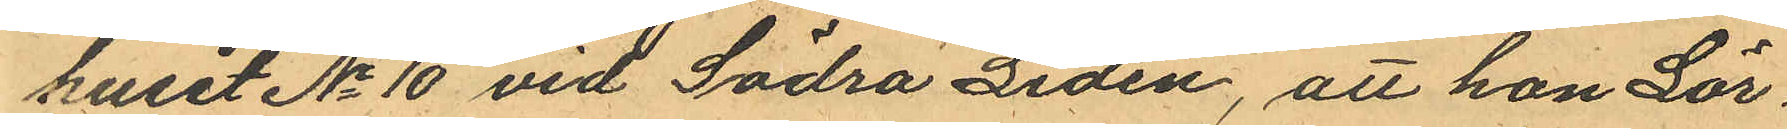huset No 10 vid Södra Liden, att han Lör¬
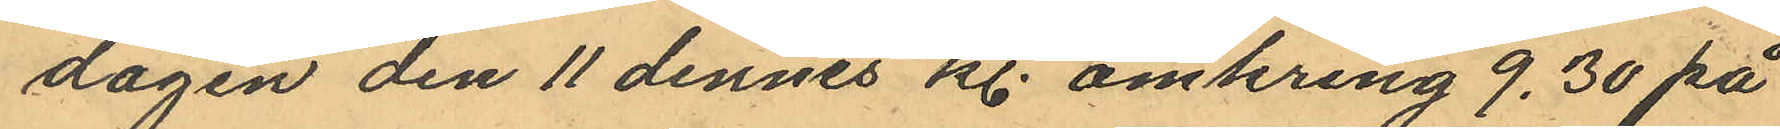dagen den 11 dennes kl. omkring 9,30 på
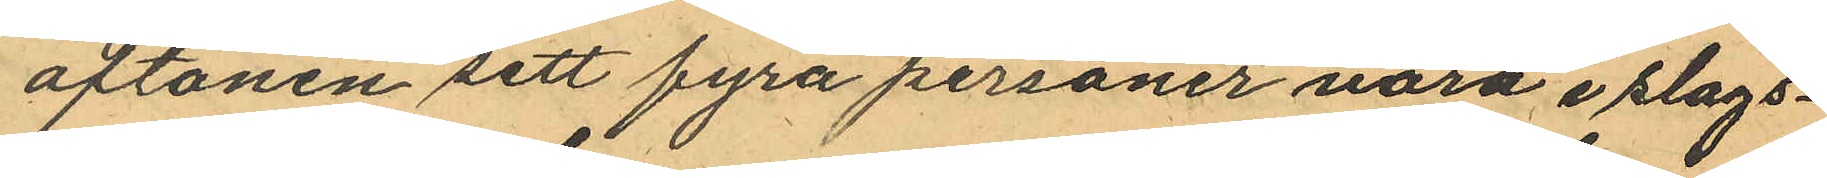aftonen sett fyra personer vara i slags¬
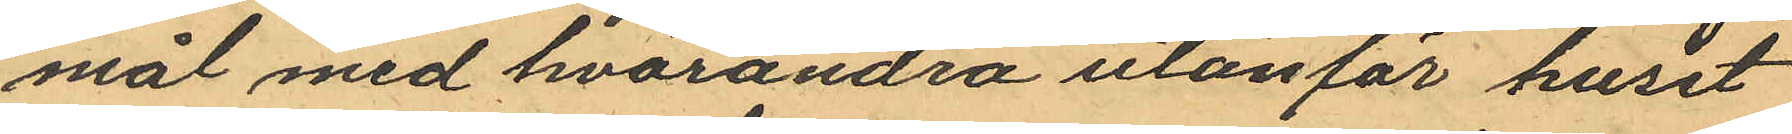mal med hvarandra utanför huset
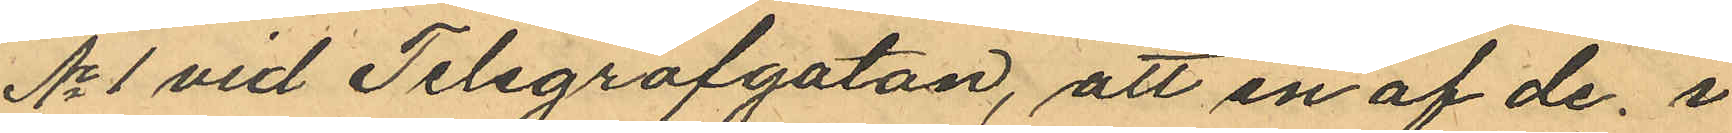No 1 vid Telegrafgatan, att en af de i
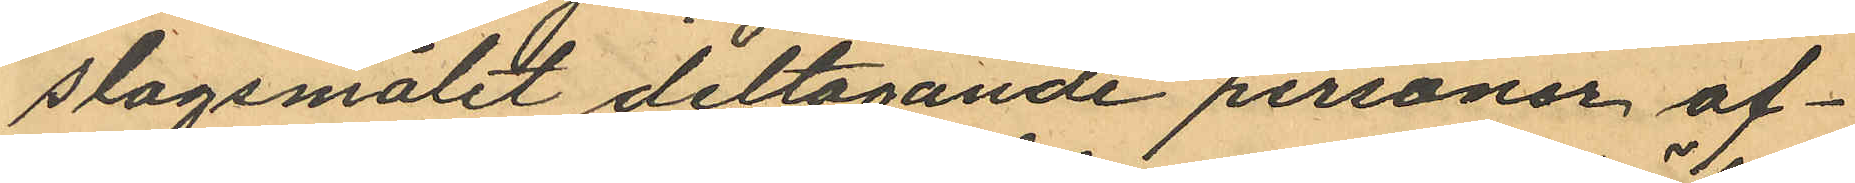slagsmålet deltagande personer af¬
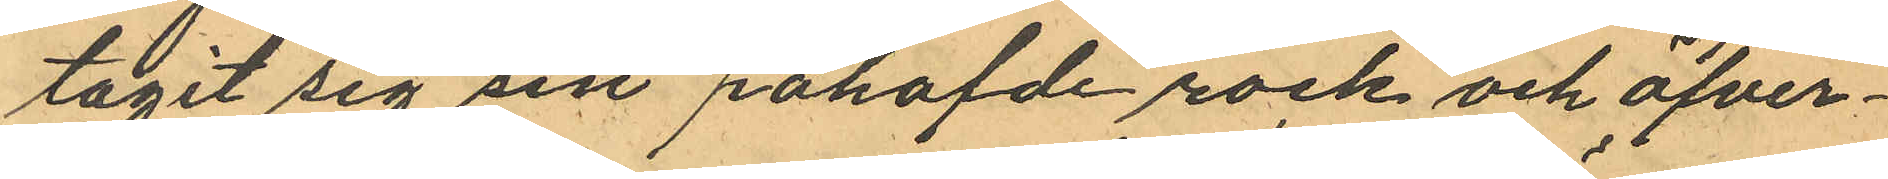tagit sig sin påhafvde rock och öfver¬
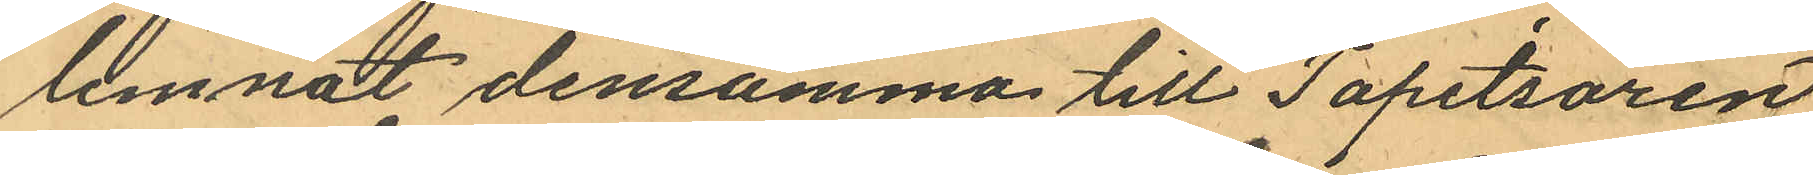lemnat densamma till Tapetsören
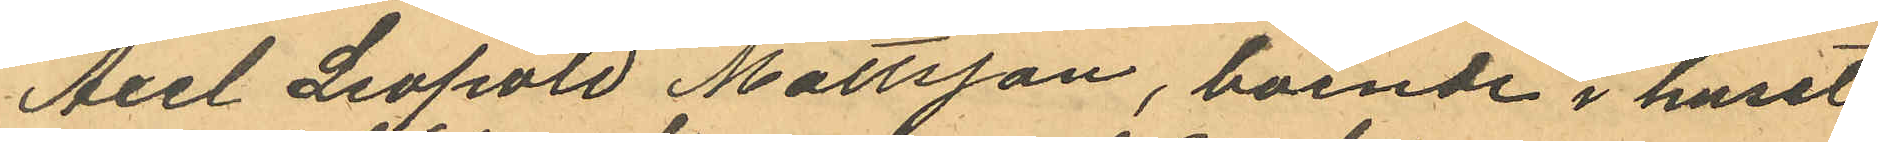Axel Leopold Mattsson, boende i huset
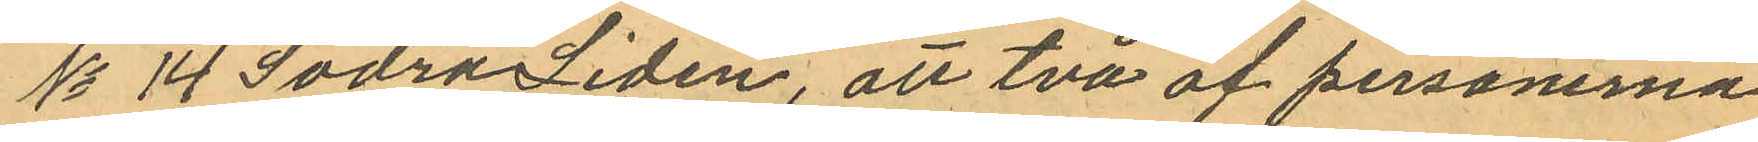No 14 Södra Liden, att två af personerna
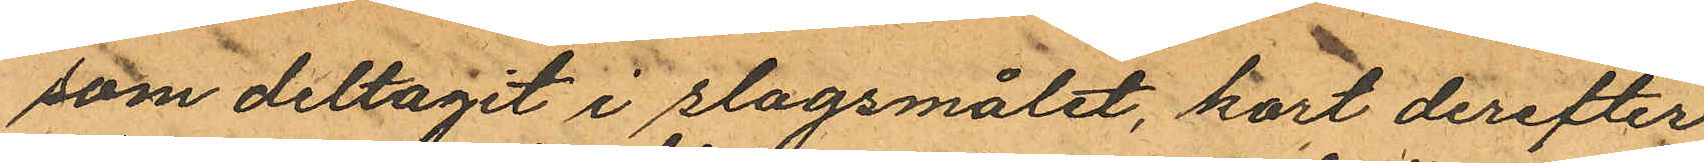som deltagit i slagsmålet, kort derefter
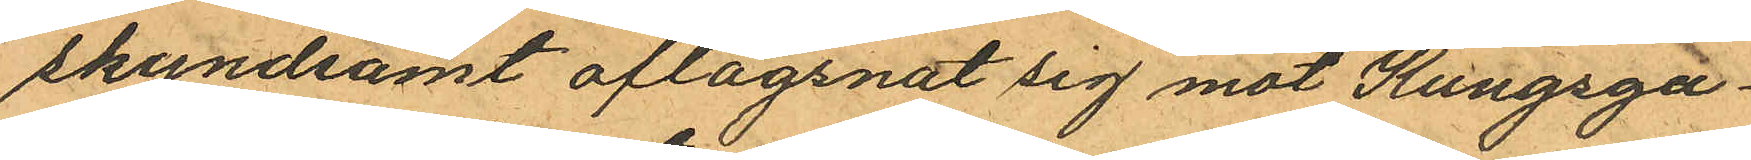skyndsamt aflägsnat sig mot Kungsga¬
